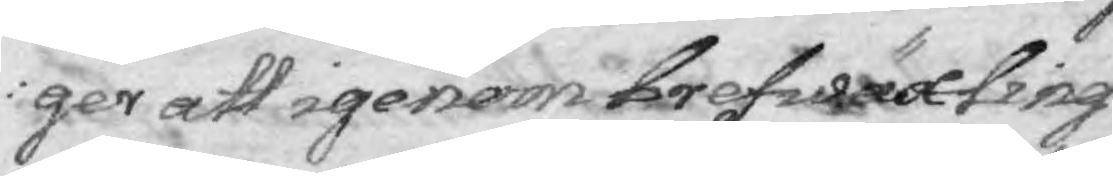ger att igenom brefwäxling
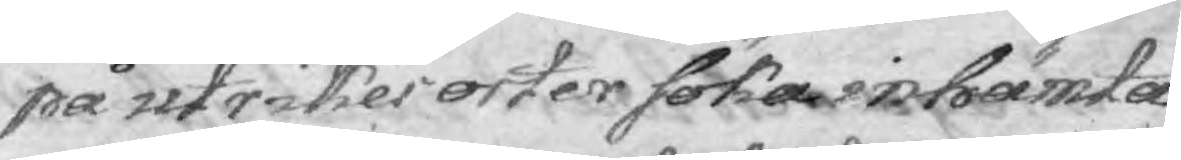på utrikes orter söka inhämta
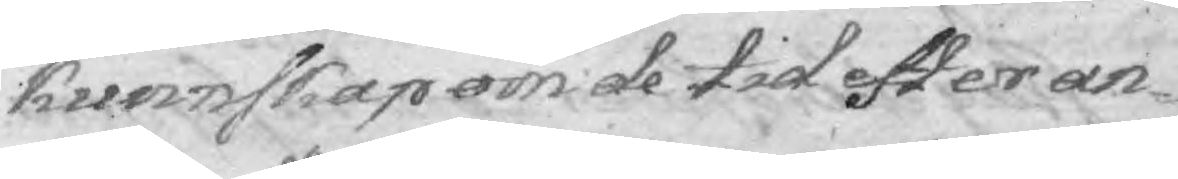kunnskap om de tid efter an¬
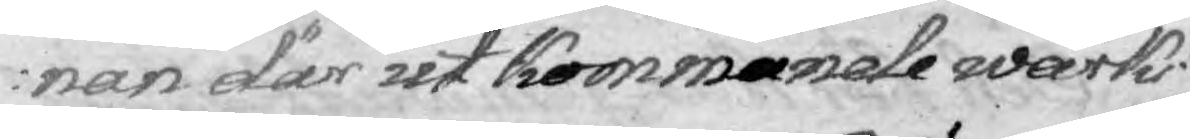nan där uti kommande wärks
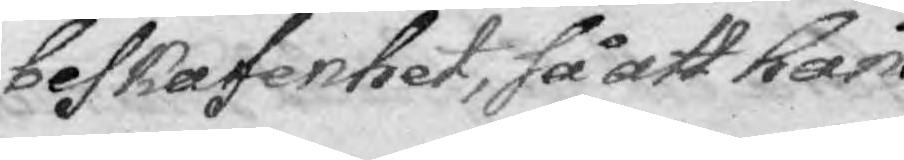beskafentet, så att han
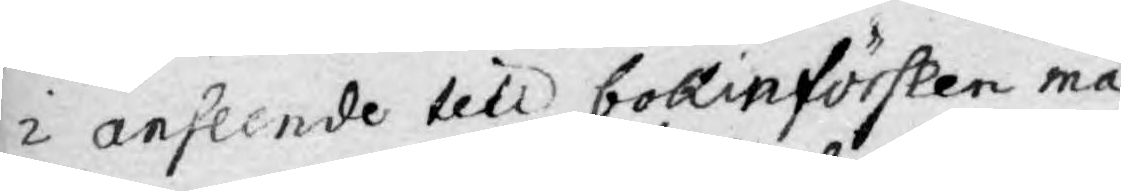i anseende till bokinförslen må
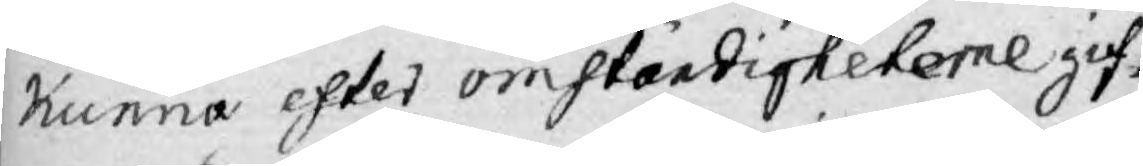kunna efter omständigheterne gif¬
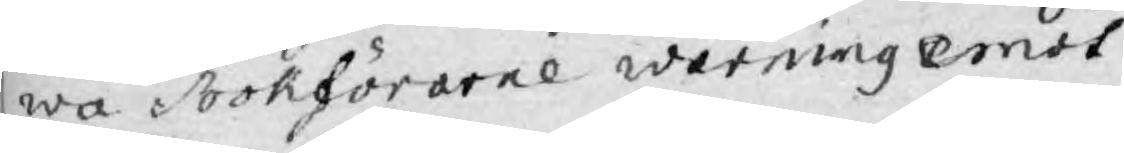wa Bökförarne warning emot
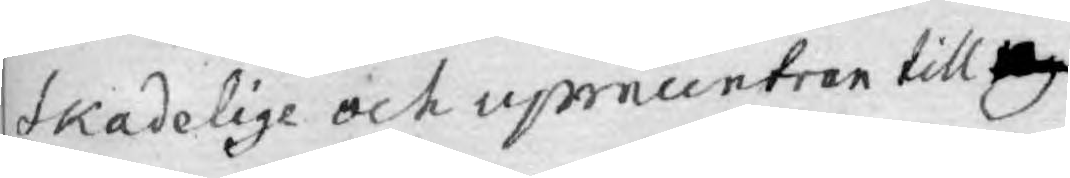skadelige och upmuntran till ny
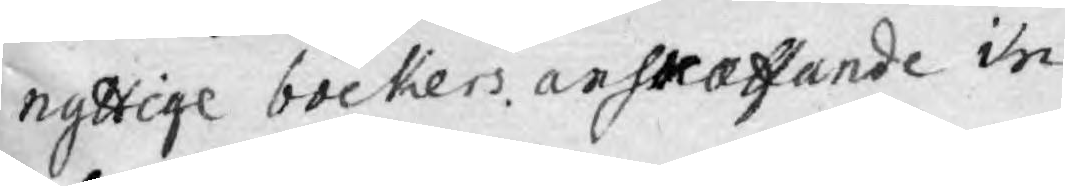nyttige böckers anskaffande in
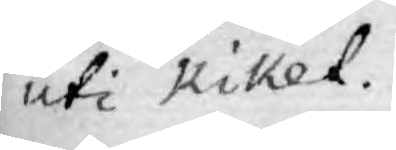uti Riket.
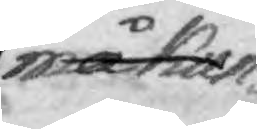må kun¬
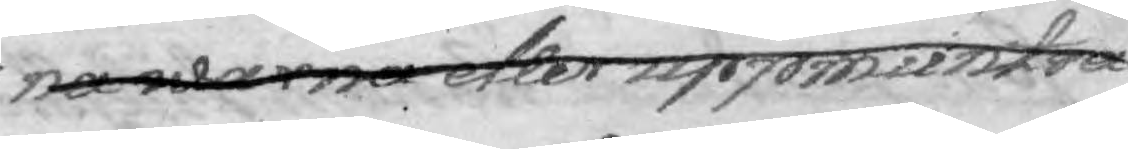na warna eller uppmuntra 
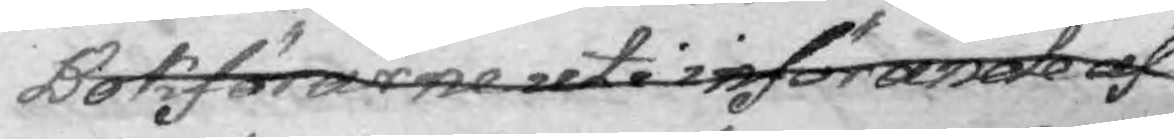Bokförarne uti införande af
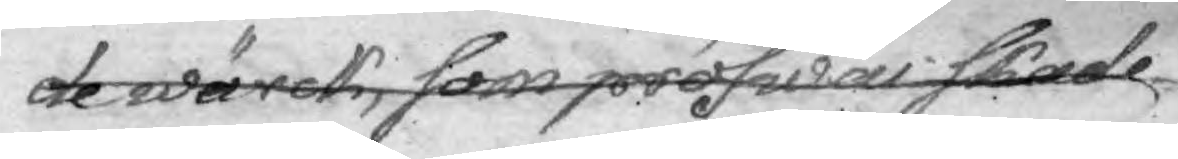de wärck, som pröfwas skade¬
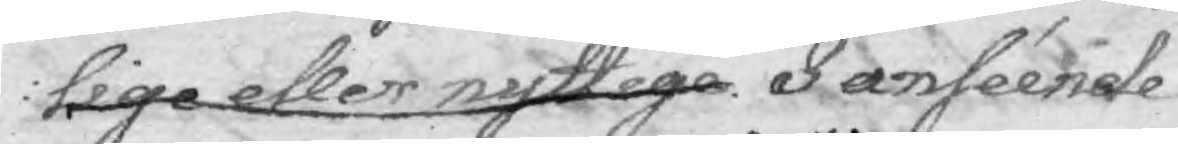lige eller nyttiga. Inséende
